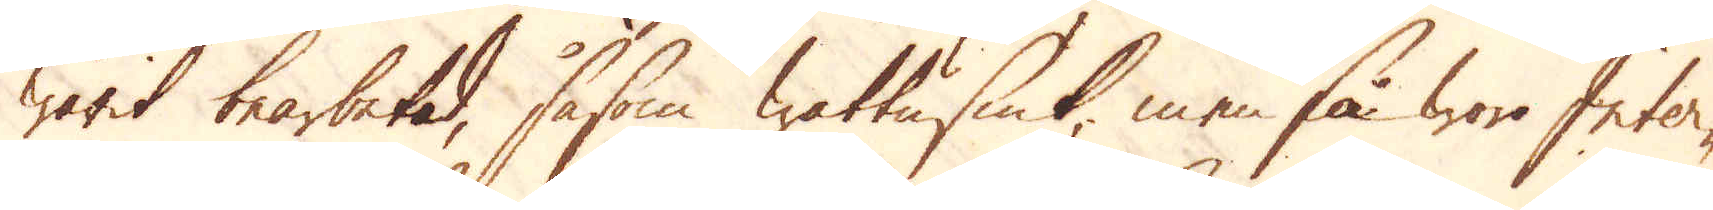warit bearbetad, såsom wattusiuk, men så woro Inter-
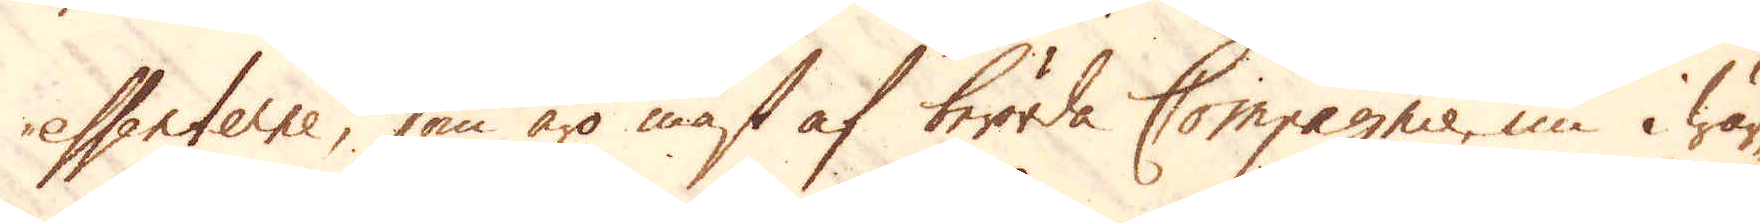essenterne, som äro mäst af berörda Compagnie, nu i wär-
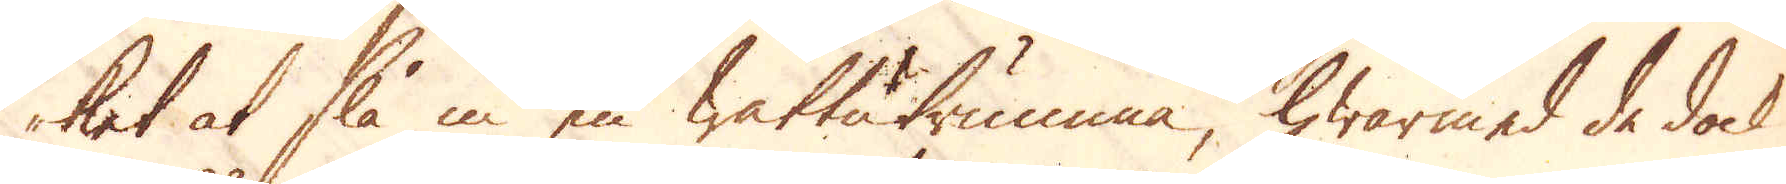ket at slå in en wattutrumma, hwarmed de dock
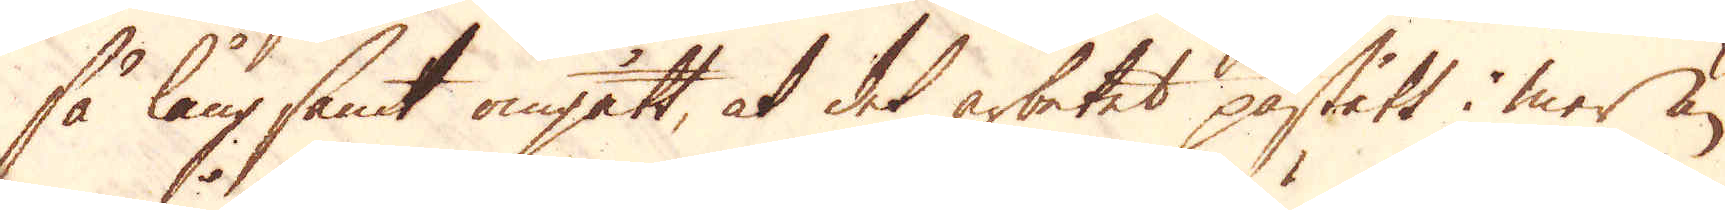så långsamt omgått, at det arbetet påstått i mer än
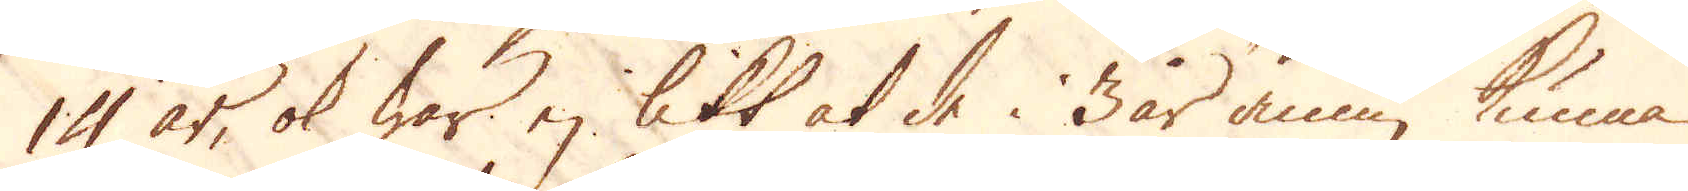14 år, ok war ej likt at de i 3 år ännu kunna
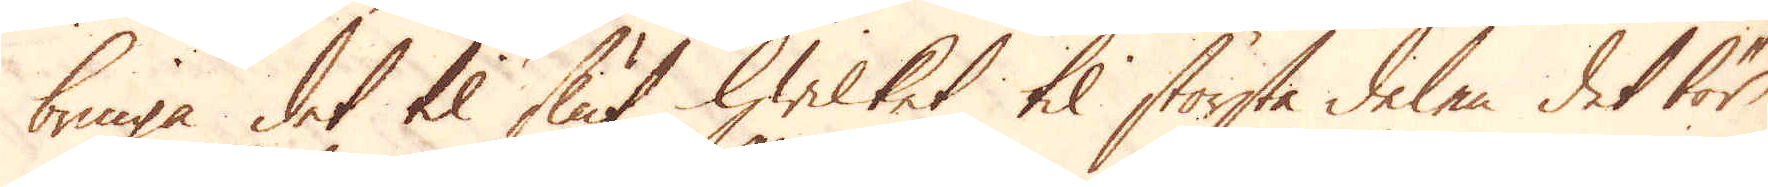bringa det til slut, hwilket til största delen det för
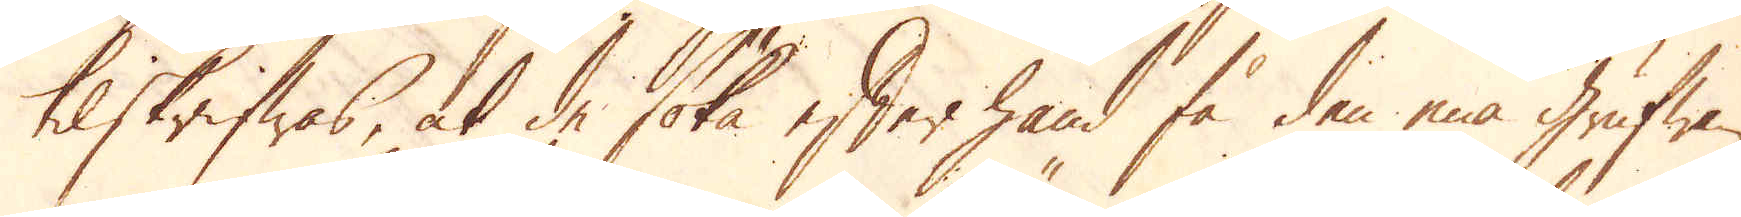tilskrifwas, at de söka efter hand få den ena grufwan
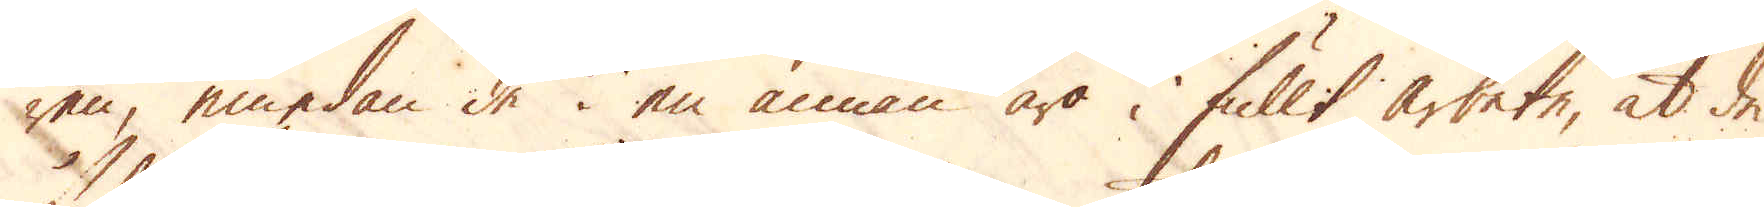ren, emedan de i en annan äro i fullt arbete, at de
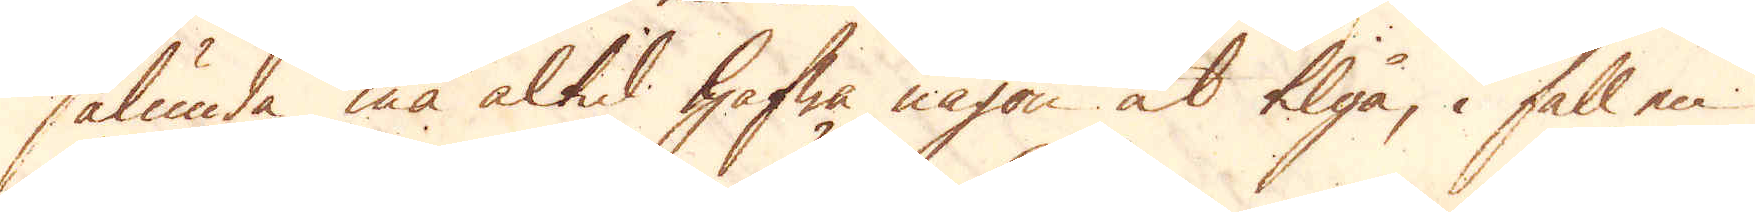sålunda må altid hafwa någon at tilgå, i fall en
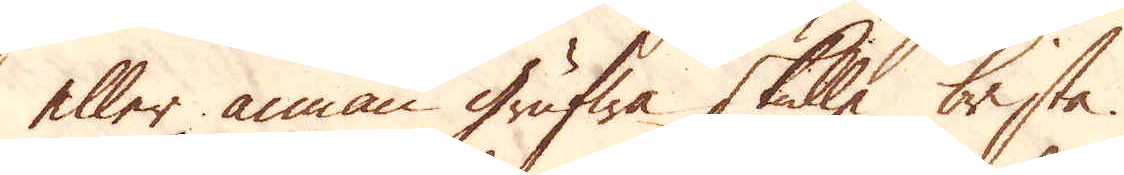eller annan grufwa skulle brista.
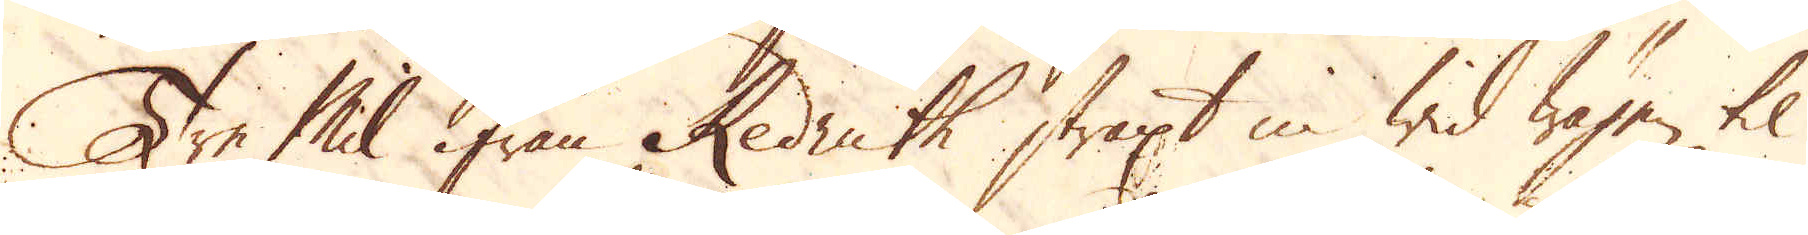Tre Mil ifrån Redruth straxt in wid wägen til
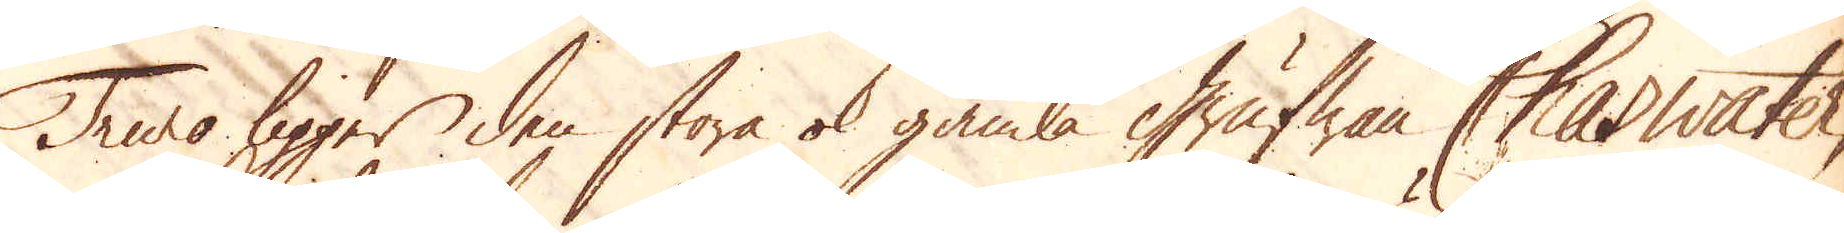Truro ligger den stora ok gamla Grufwan Chaswatter,
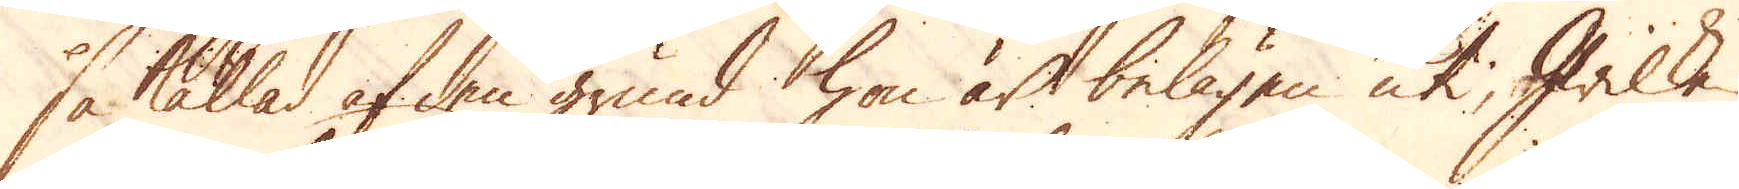så kallad af den grund hon är belägen uti, hwilke
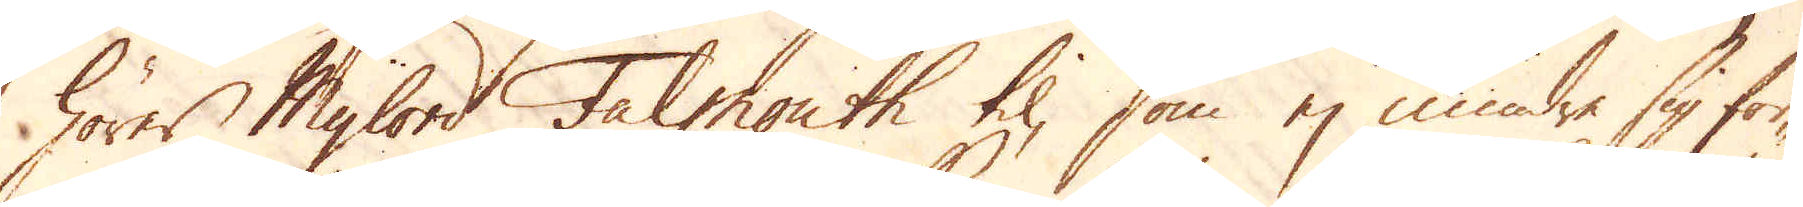hörer Mylord Falmouth til, som ej mindre sig för-
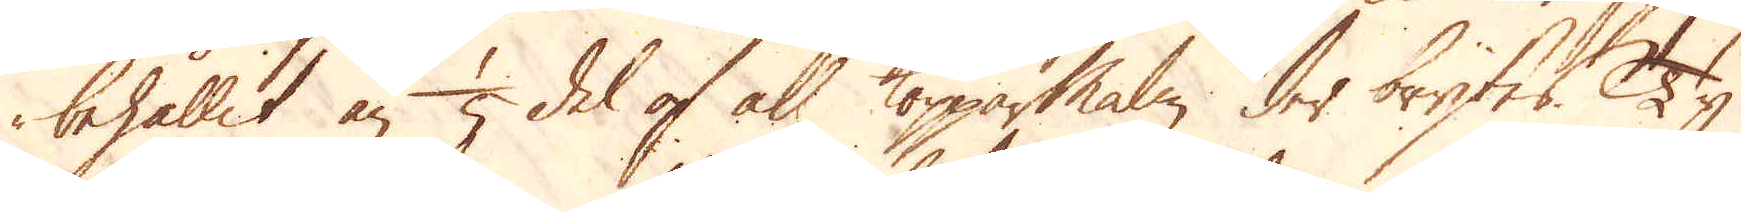behållit än 1/5 del af all Kopparmalm der brytes. Ty
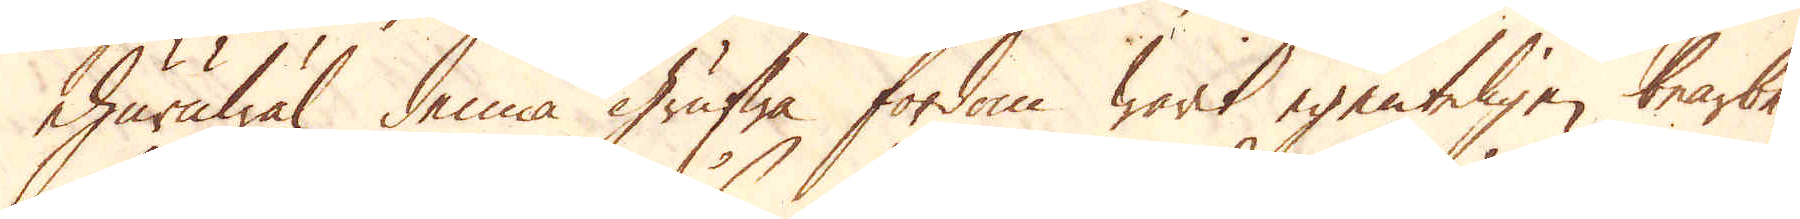ehuruwäl denna grufwa fordom warit egenteligen bearbe-
